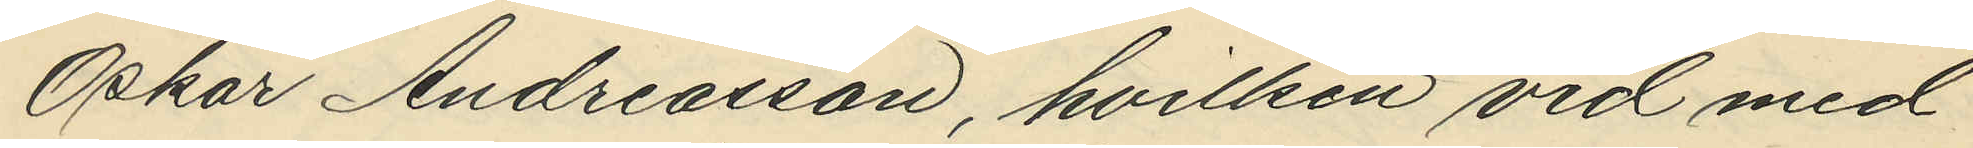Oskar Andreasson, hvilken vid med
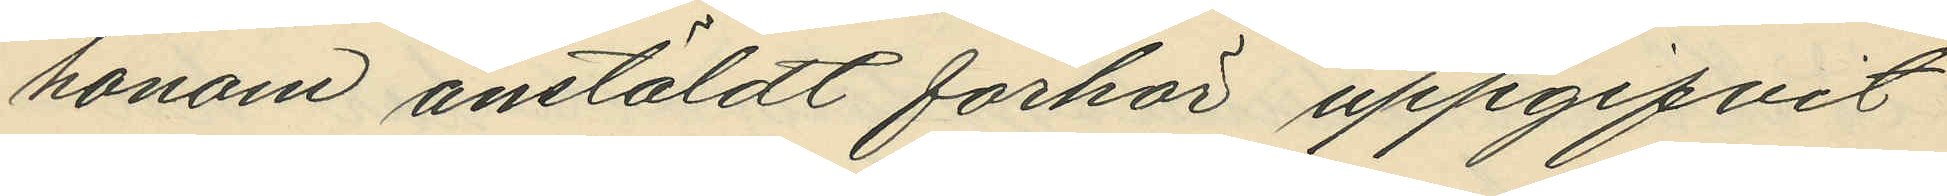honom anstäldt förhör uppgifvit
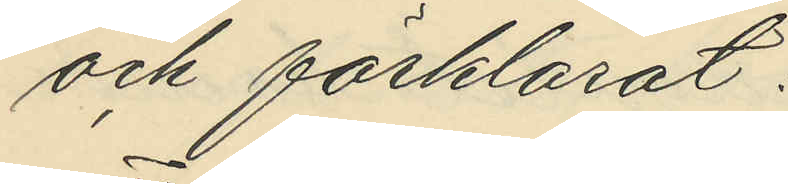och förklarat:
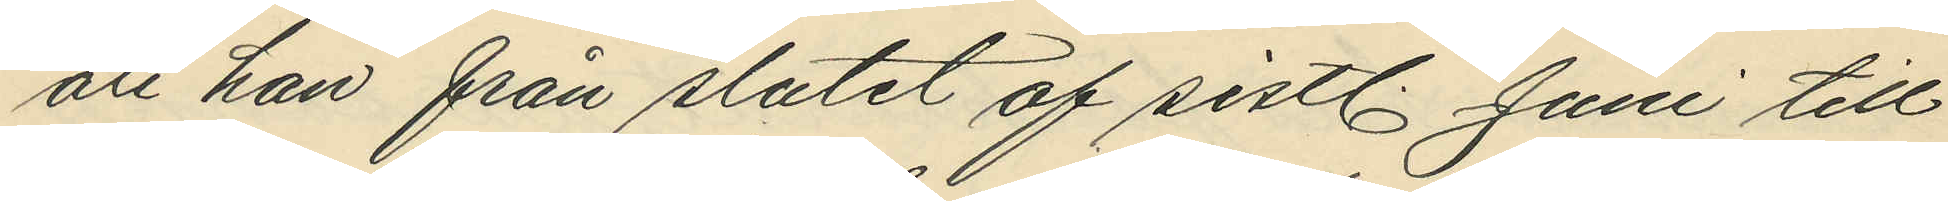att han från slutet af sistl. Juni till
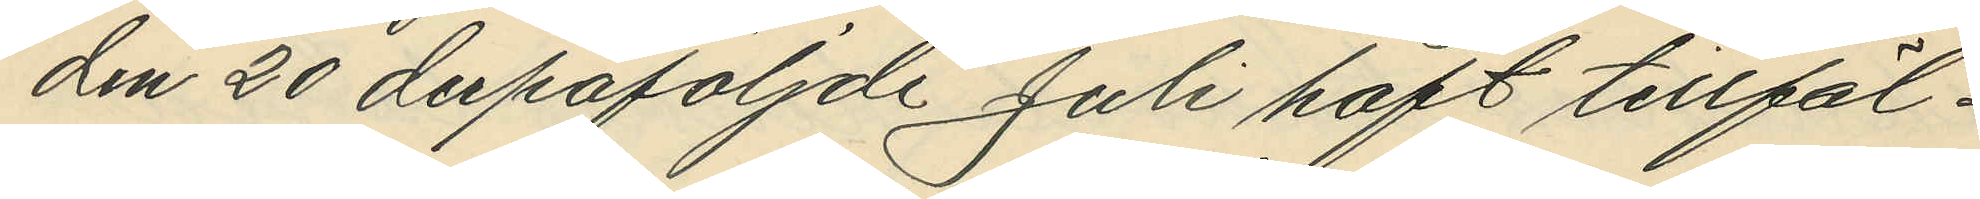den 20 derpåföljde Juli haft tillfäl¬
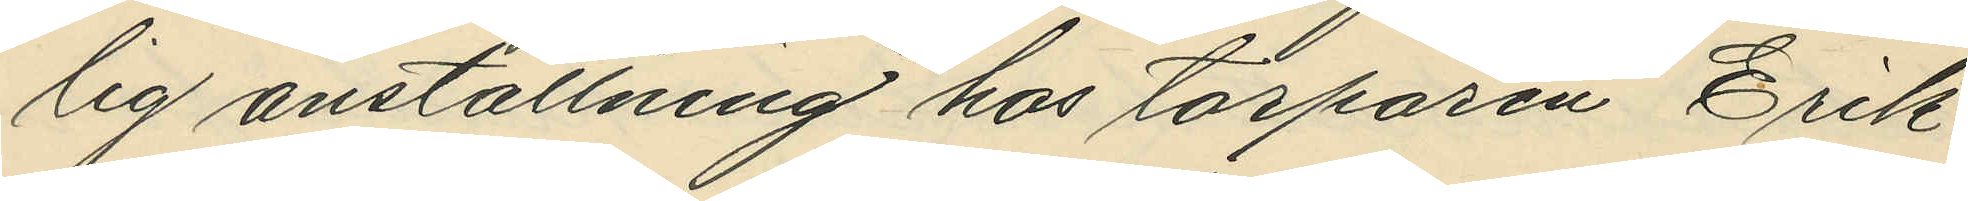lig anställning hos torparen Erik
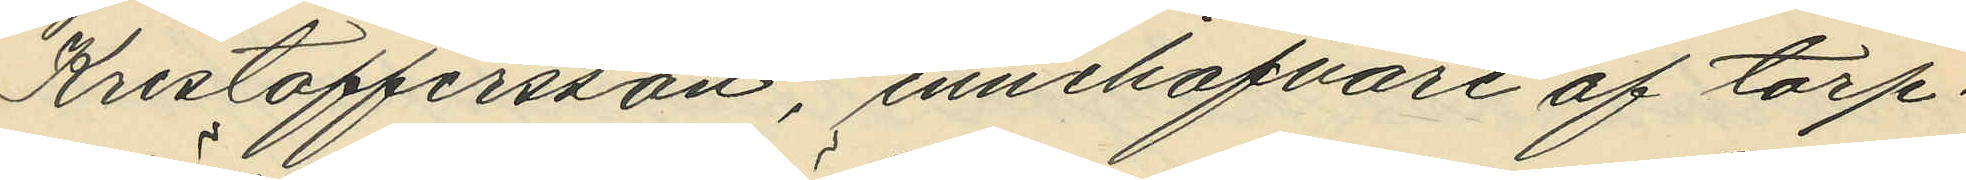Kristoffersson, innehafvare af torp¬
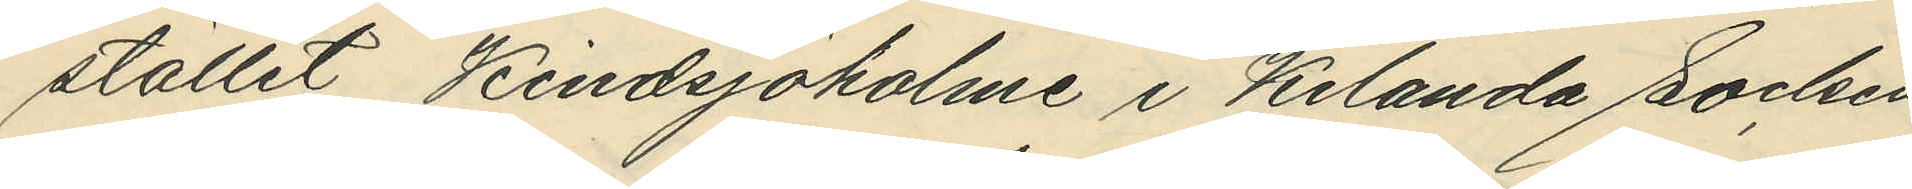stället Kindsjöholme i Kilanda Socken
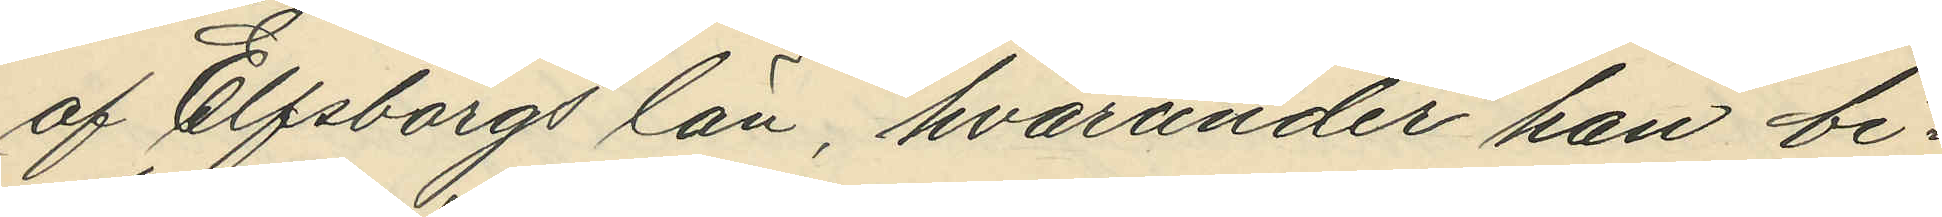af Elfsborgs län, hvarunder han bi¬
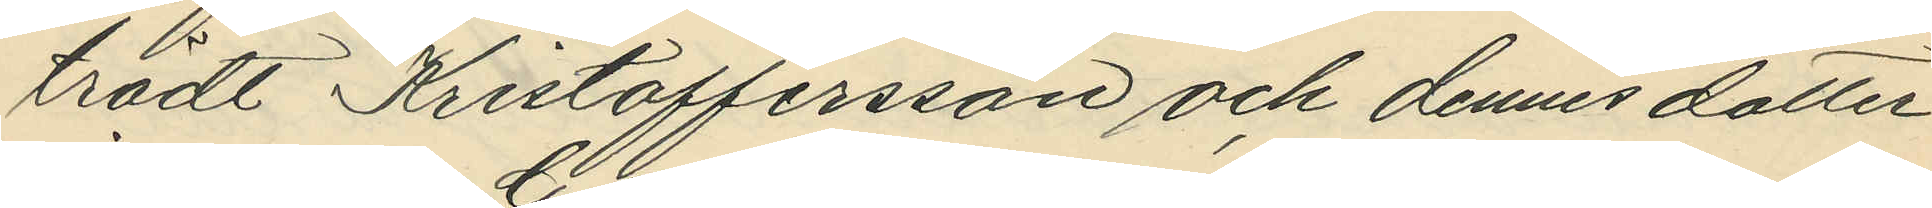trädt Kristoffersson och dennes dotter
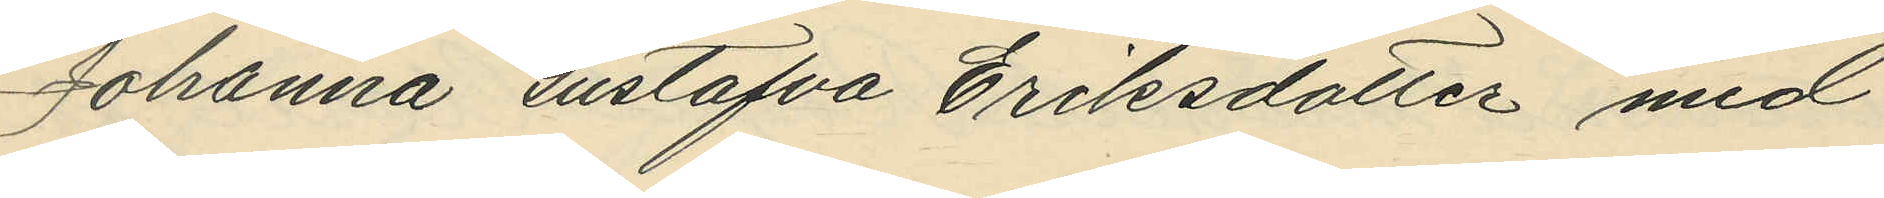Johanna Gustafva Eriksdotter med
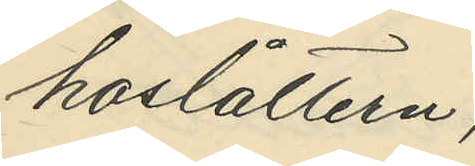hoslåttern;
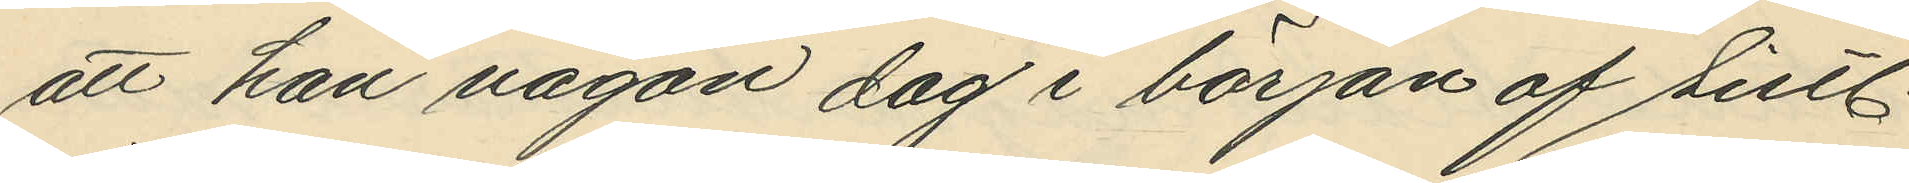att han någon dag i början af sistl.
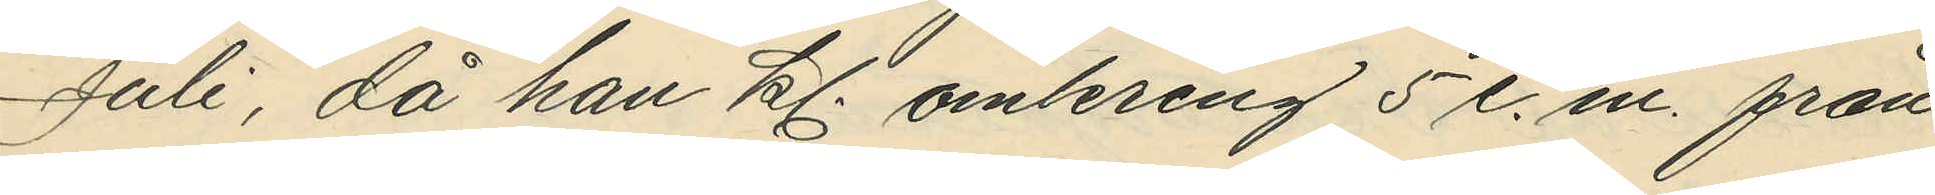Juli, då han kl. omkring 5 e.m. från
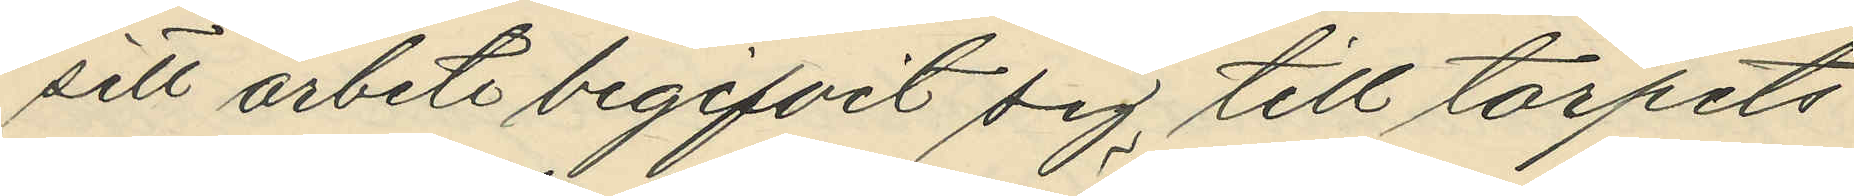sitt arbete begifvit sig till torpets
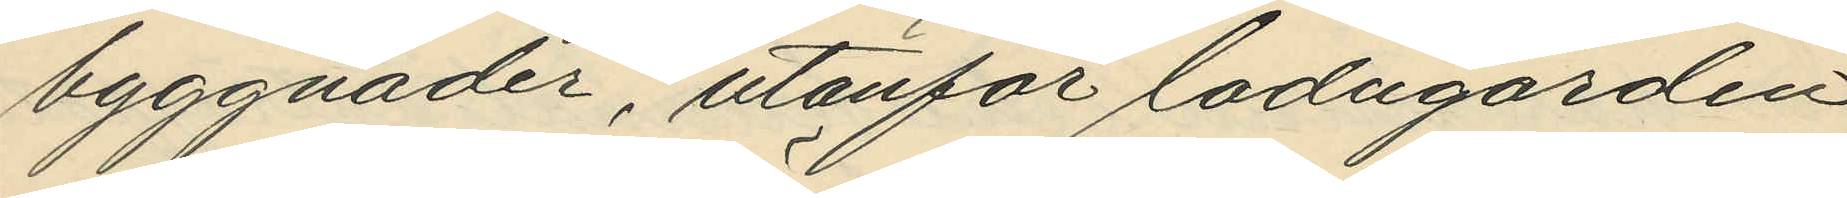byggnader, utanför ladugården
